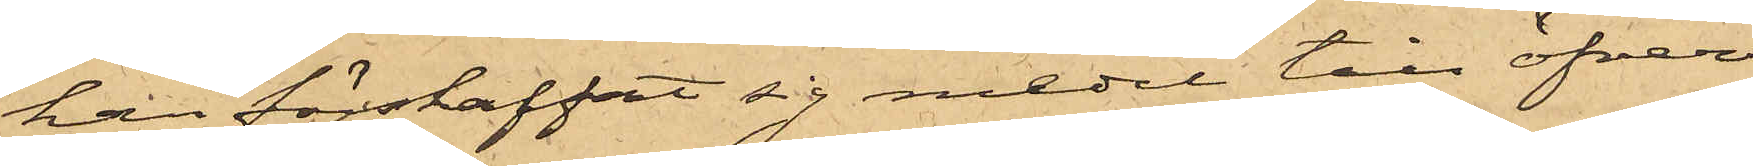han förskaffat sig medel till öfver¬
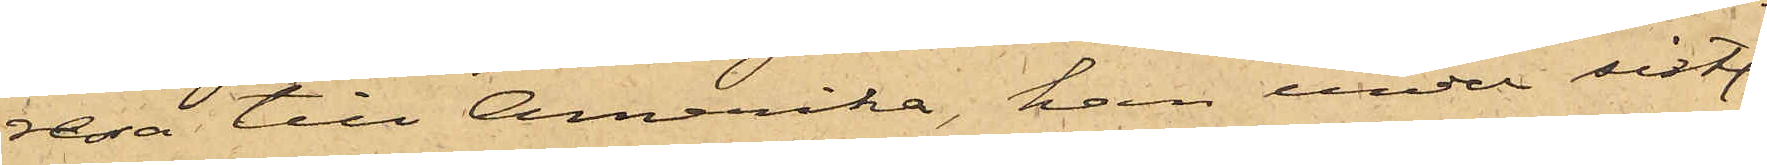resa till Amerika, han under sistl.
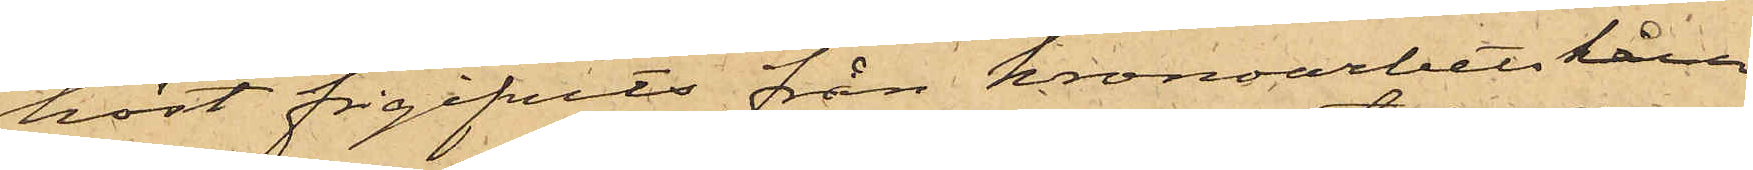höst frigifvits från kronoarbetskåren
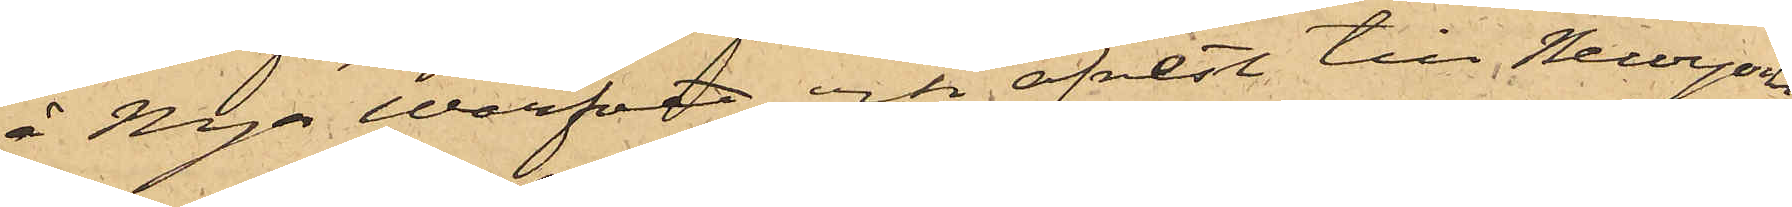å Nya Warfvet och afrest till Newyork,
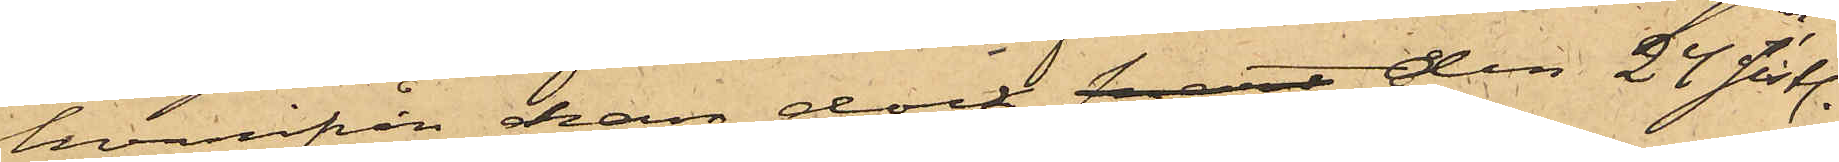hvarifrån han dock snart den 24 sistl.
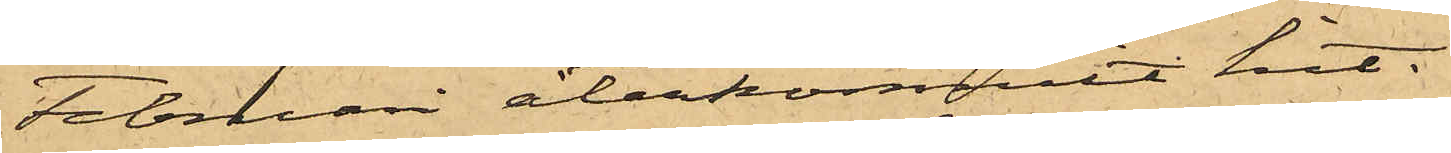Februari återkommit hit.
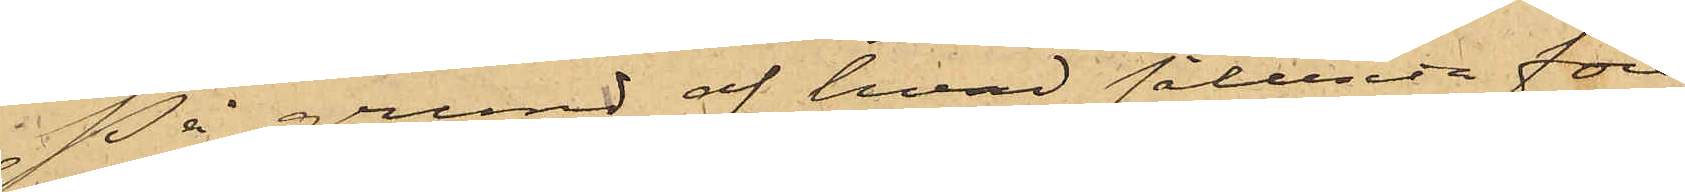På grund af hvad sålunda före¬
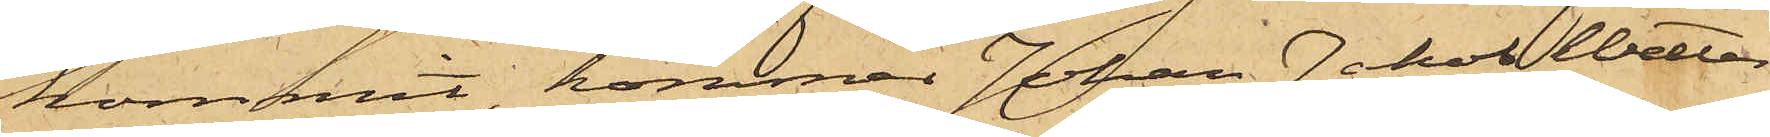kommit, kommer Johan Jakob Wetter¬
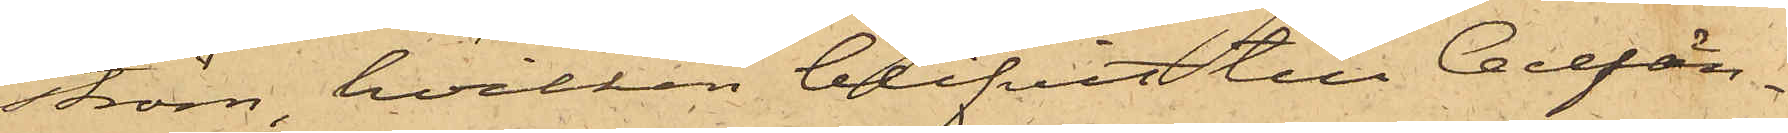ström, hvilken blifvit till Cellfän¬
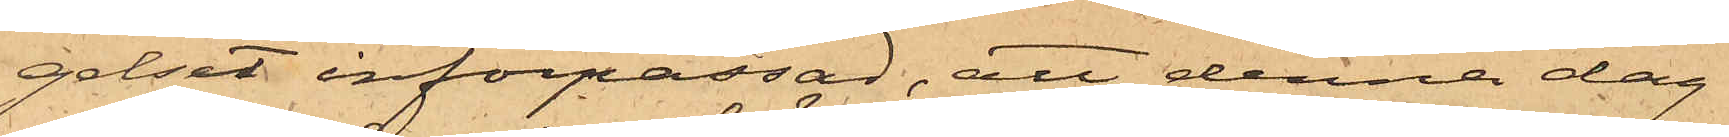gelset införpassad, att denna dag
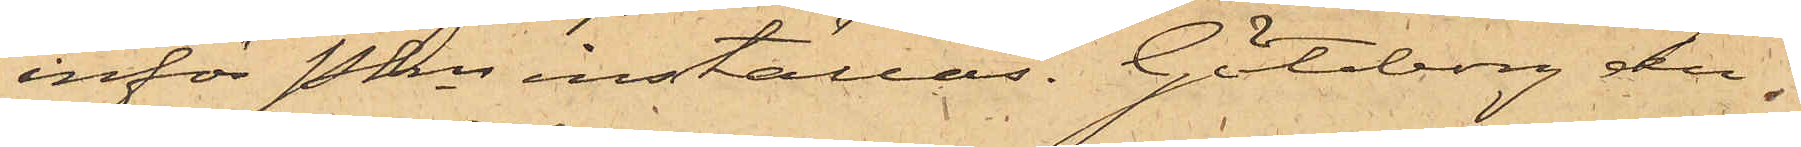inför Pkn inställas. Göteborg den
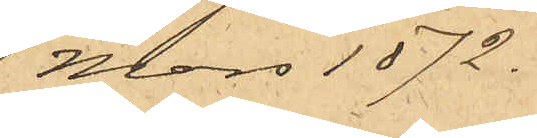1 Mars 1872.
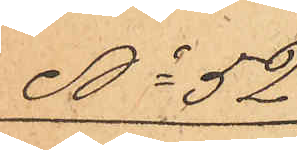No 52
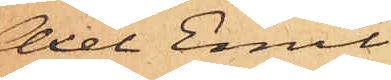Axel Emil
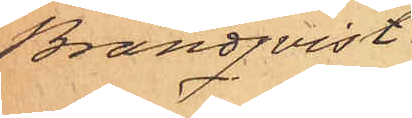Brandqvist.
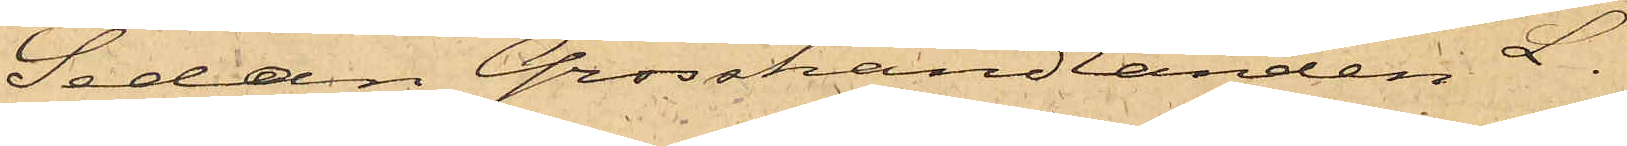Sedan Grosshandlanden L.
